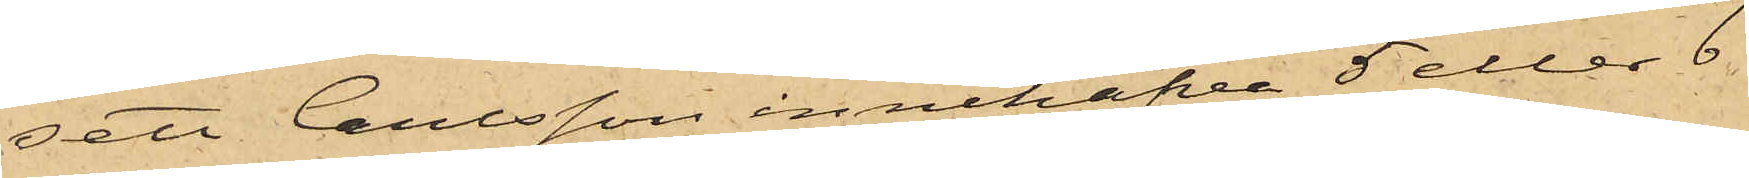sett Carlsson innehafva 5 eller 6
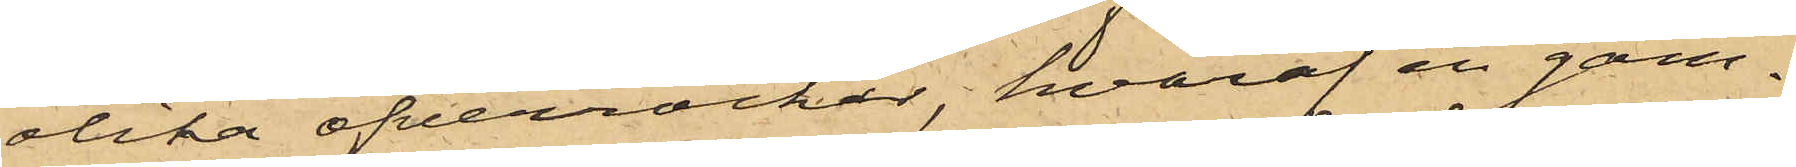olika öfverrocker, hvaraf en gam¬
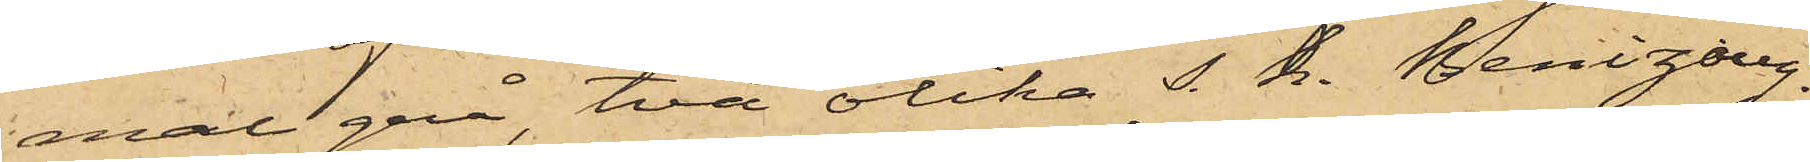mal grå, två olika s. k. Benizoug¬
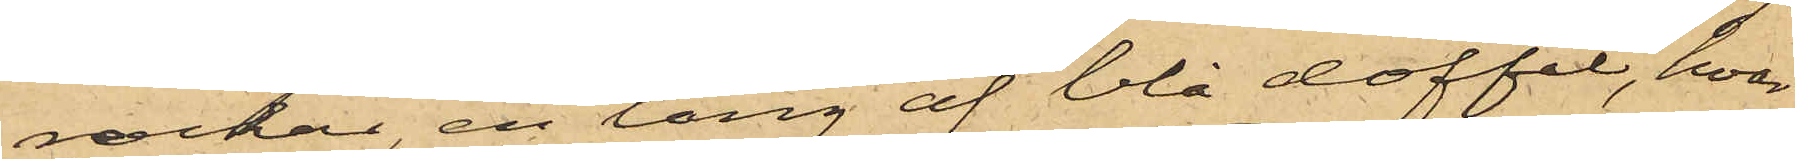rockar, en lång af blå doffel, hvar¬
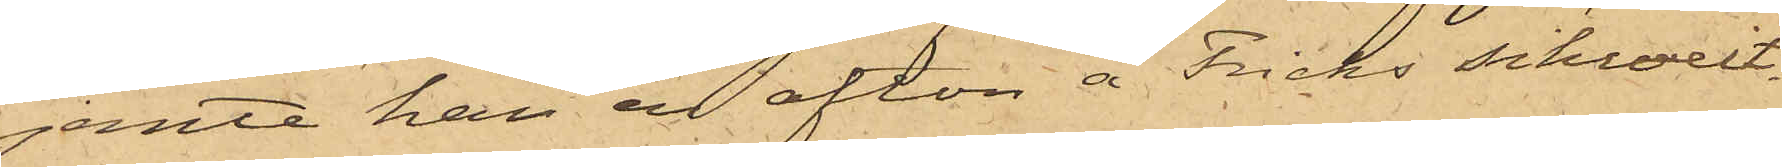jemte han en afton å Fricks schweit¬
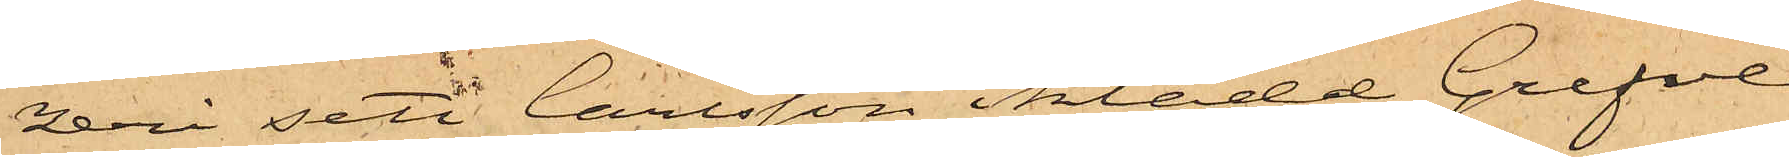zeri sett Carlsson iklädd Grefve
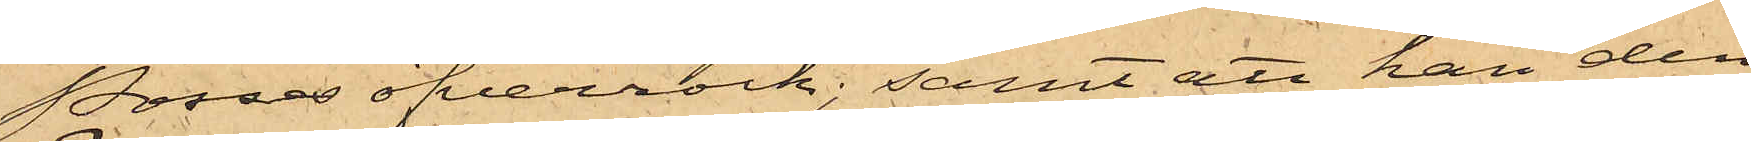Posses öfverrock; samt att han den
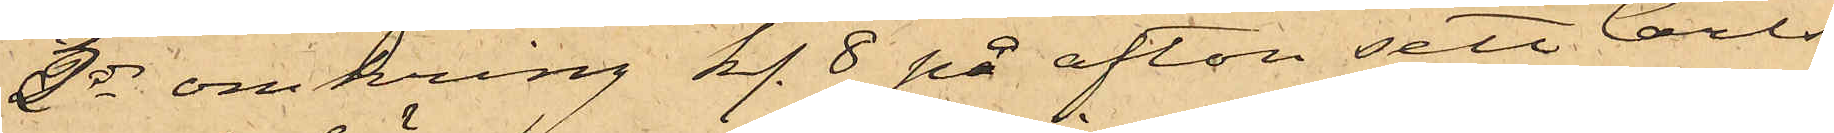3 ds omkring kl. 8 på afton sett Carls¬
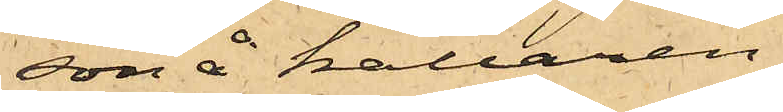son å källaren
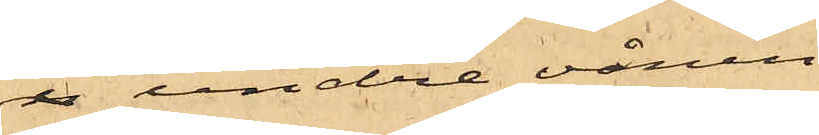i undre vånin¬
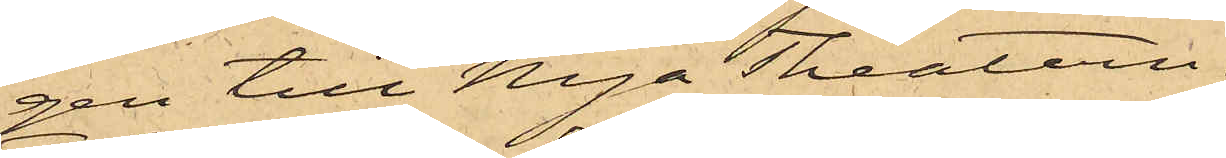gen till Nya Theatern;
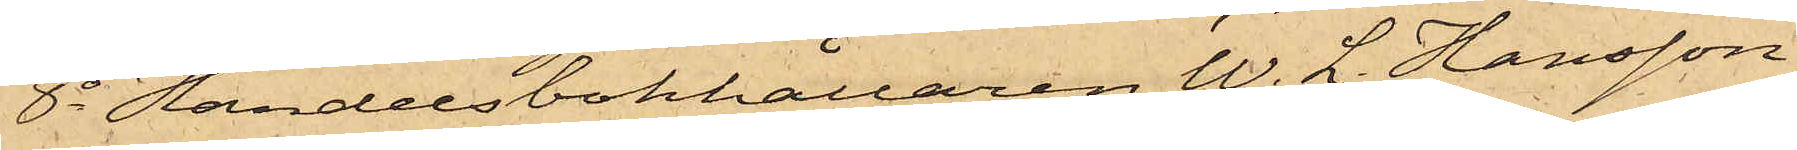8o Handelsbokhållaren W. L. Hansson,
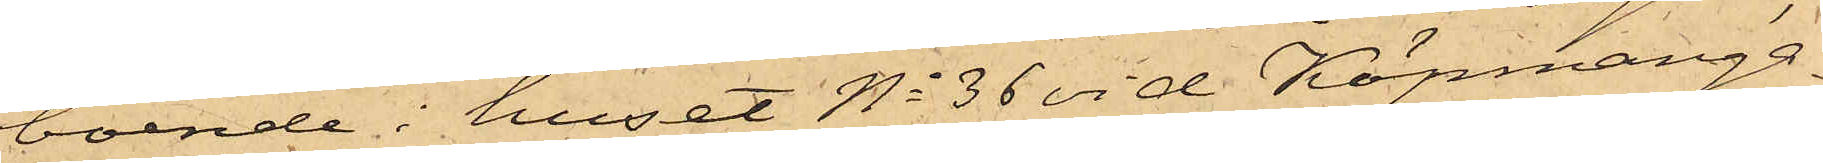boende i huset No 36 vid Köpmanga¬
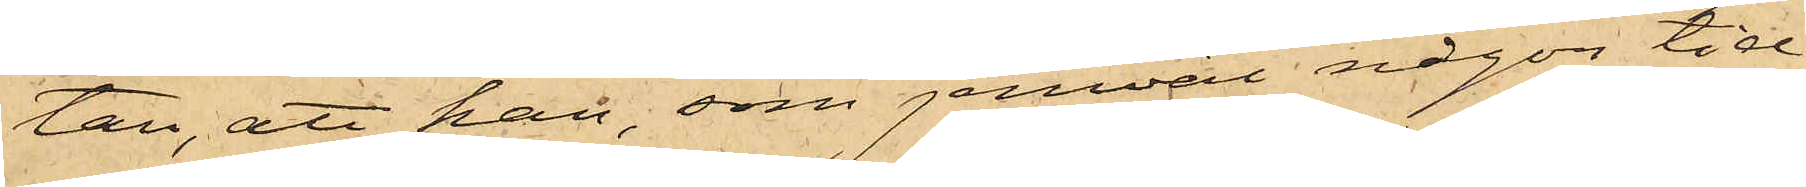tan, att han, som jemväl någon tid
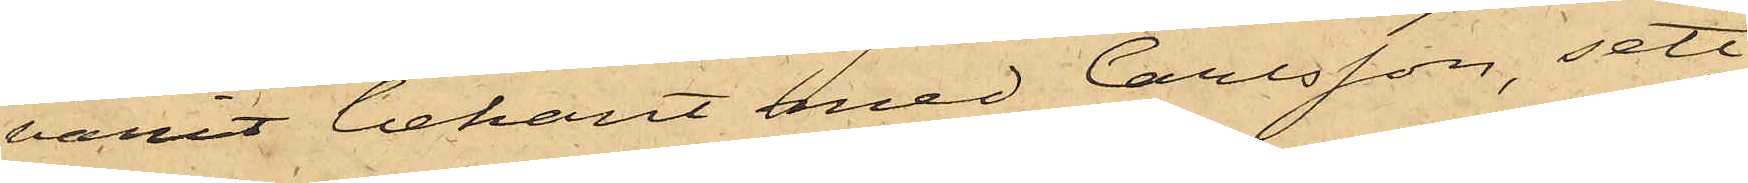varit bekant med Carlsson, sett
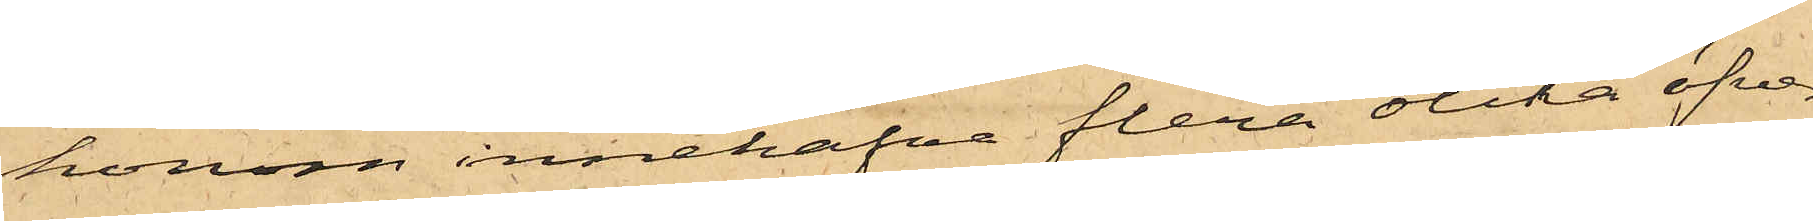honom innehafva flera olika öfver¬
